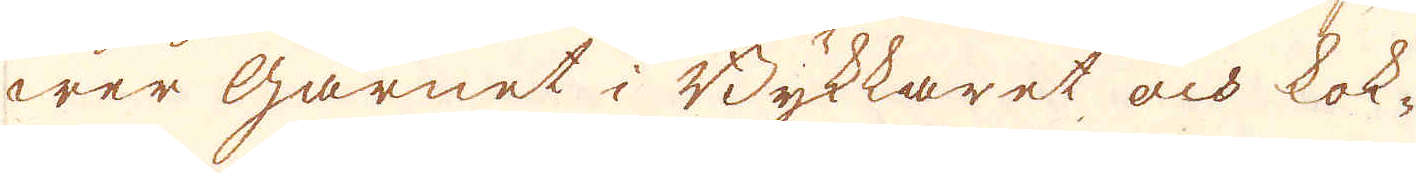wer garnet i Bykkaret och kok-
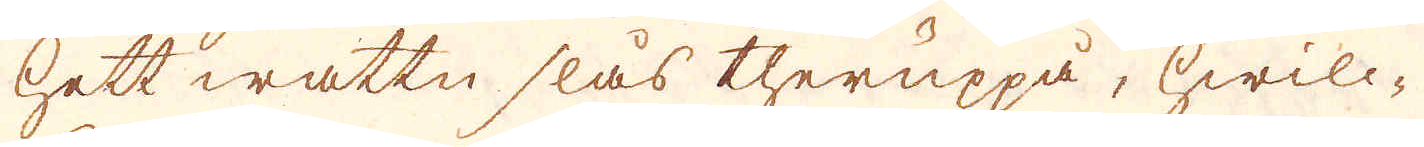hett wattn slås theruppå, hwilc-
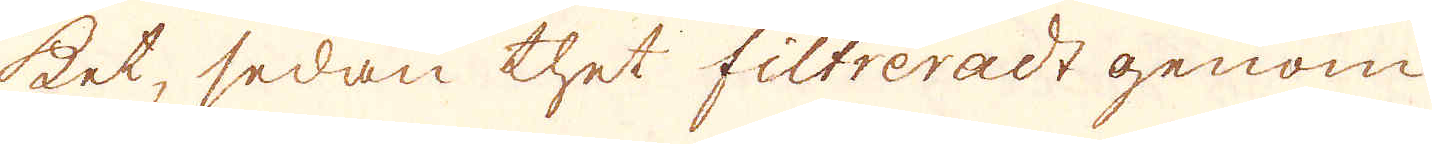ket, sedan thet filtreradt genom
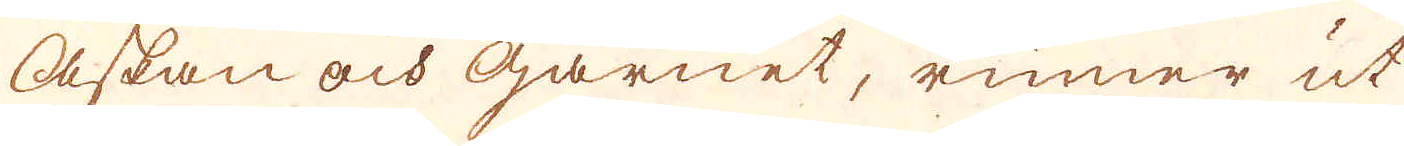askan och garnet, rinner ut
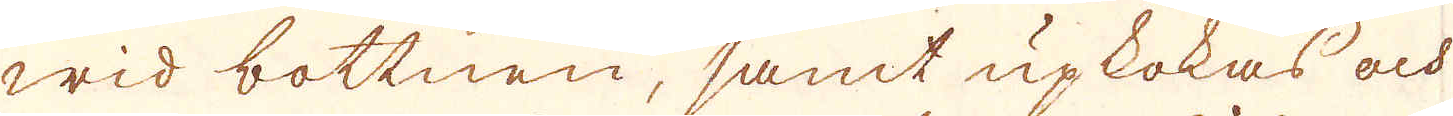wid bottnen, samt upkokas och
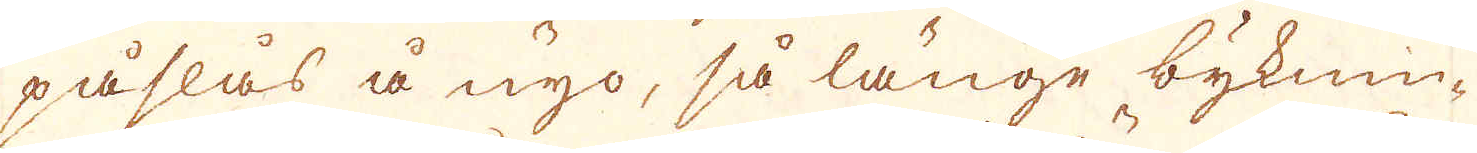påslås å nyo, så länge byknin-
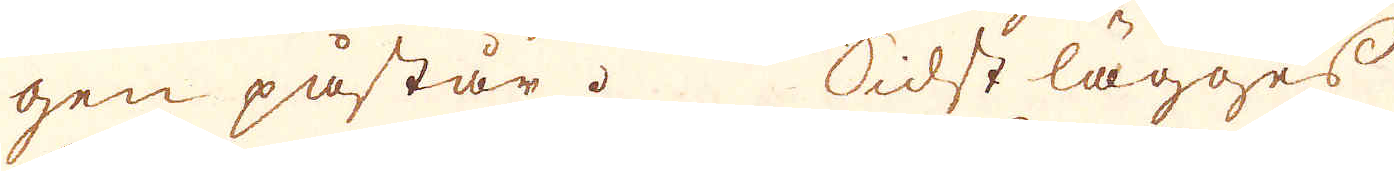gen påstår. Sidst lägges
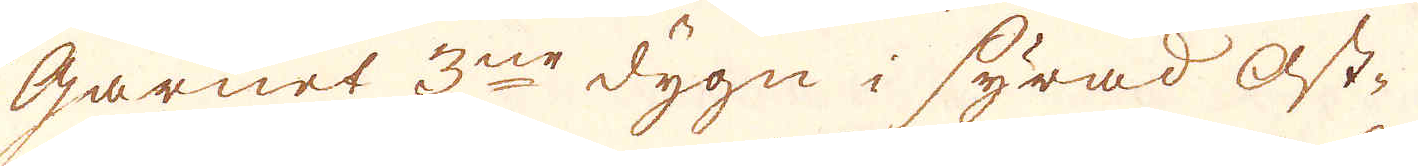garnet 3ne dygn i syrad ost-
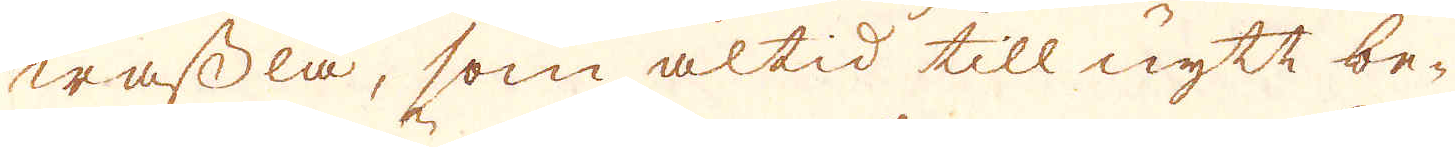wassla, som altid till nytt be-
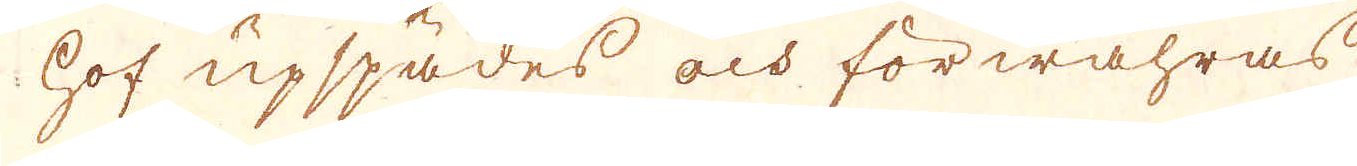hof upspädes och förwahras
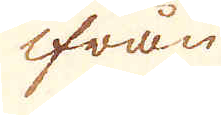ifrån
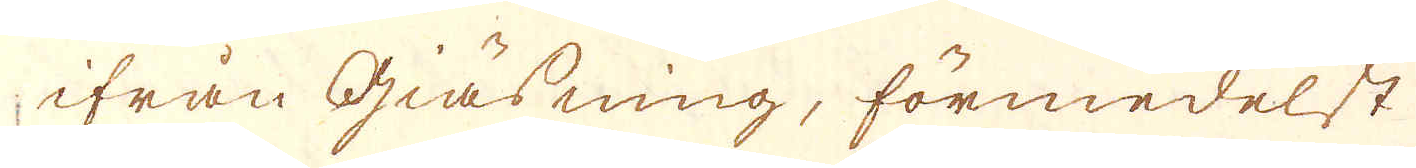ifrån giäsning, förmedelst
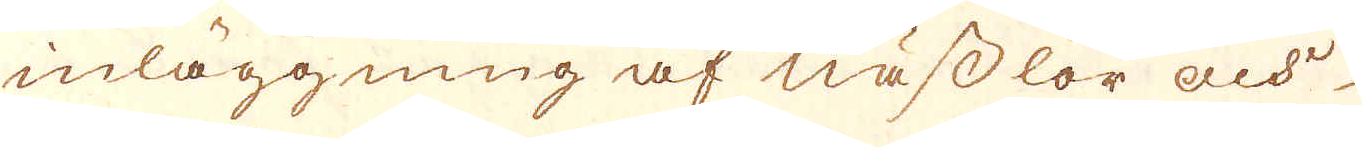inläggning af nässlor och
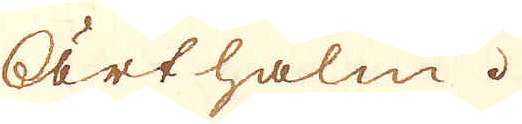ärthalm.
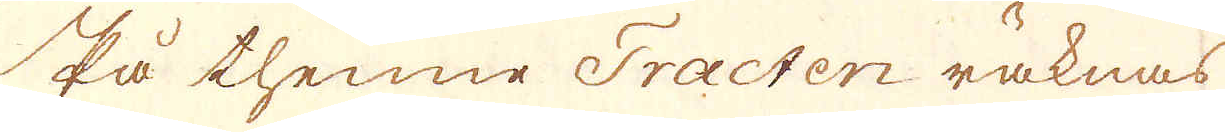På thenne Tracten räknas
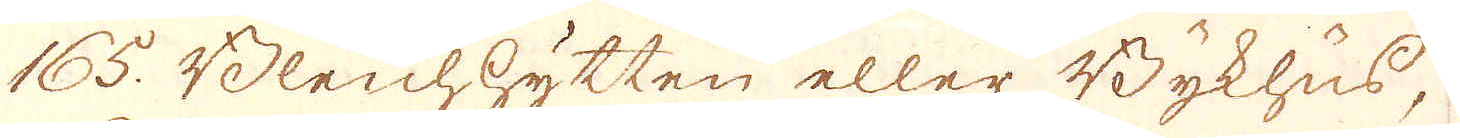165. Bleichhytten eller Bykhus,
